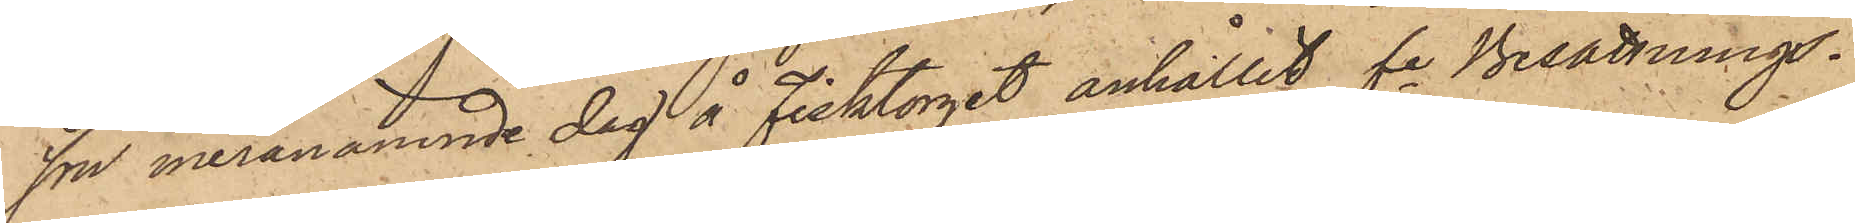son meranämnde dag å Fisktorget anhållit fre Besättnings¬
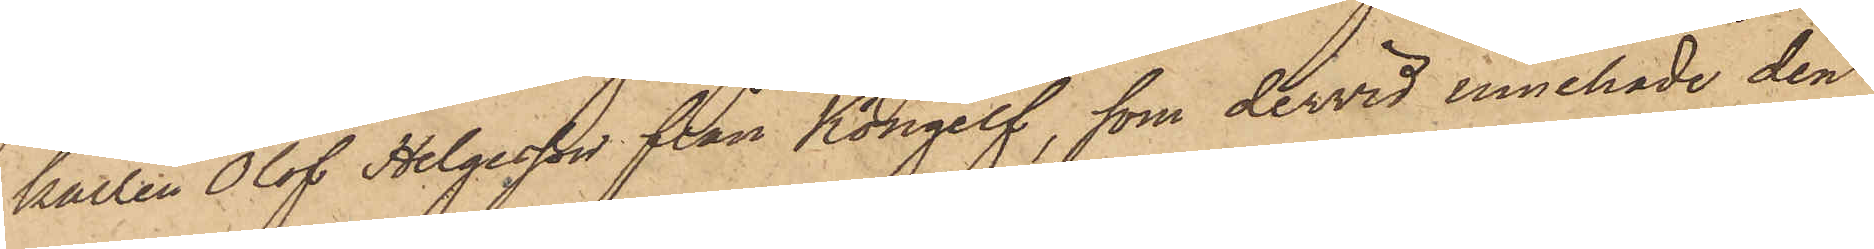karlen Olof Helgesson från Kongelf, som dervid innehade den
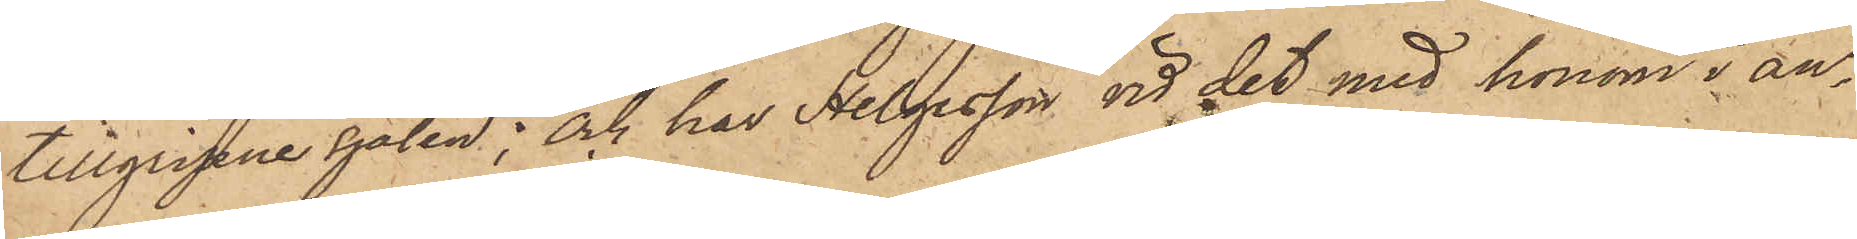tillgripne sjalen; och har Helgesson vid det med honom i an¬
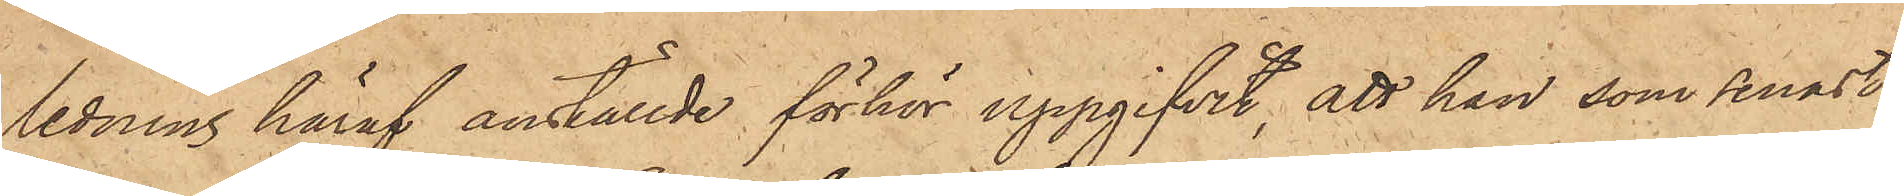ledning häraf anställde förhör uppgifvit, att han, som senast
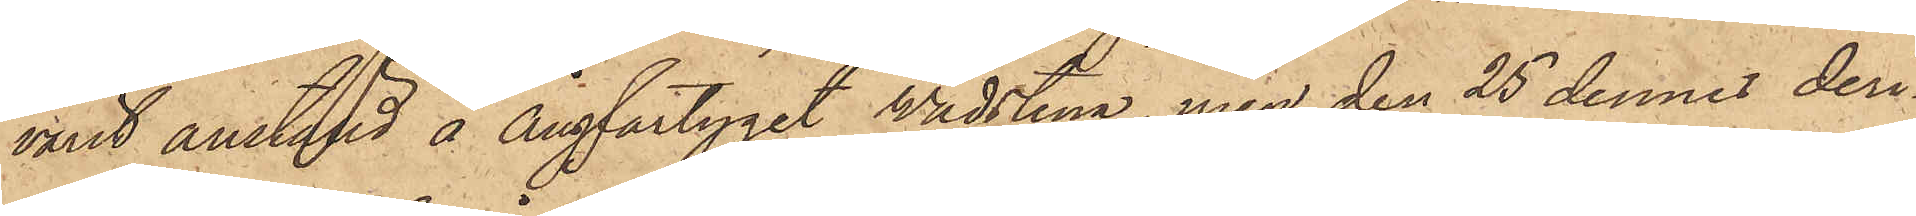varit anstäld å Ångfartyget Wadstena, men den 25 dennes deri¬
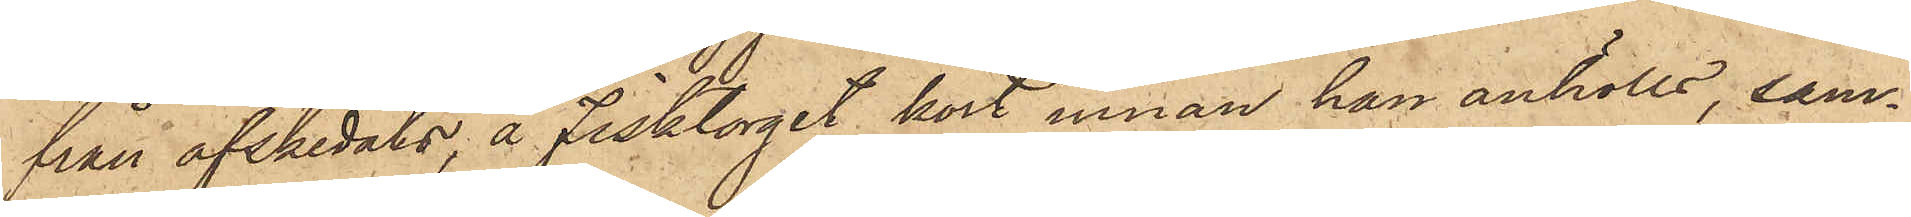från afskedats, å Fisktorget kort innan han anhölls, sam¬
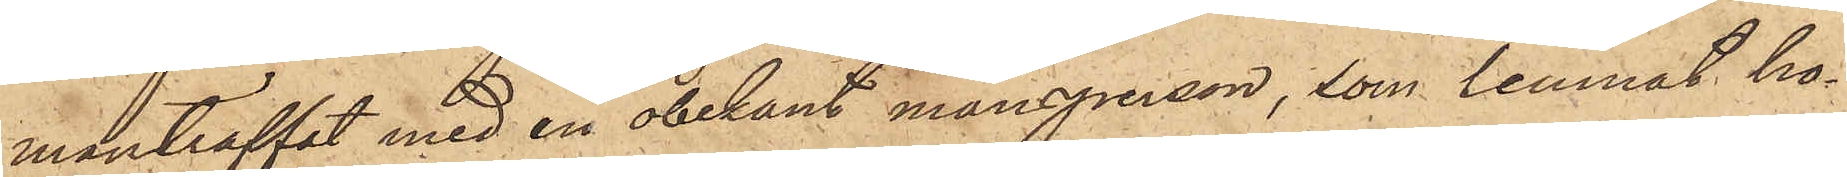manträffat med en obekant mansperson, som lemnat ho¬
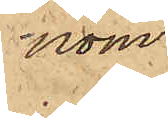som
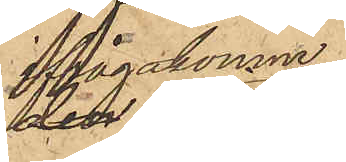ifrågakomne
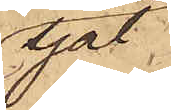sjal
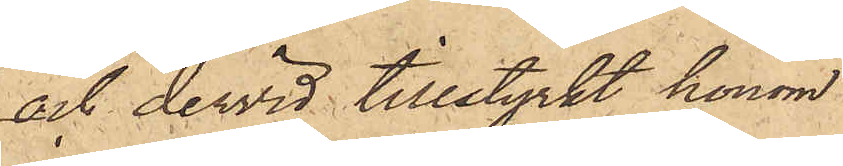och dervid tillstyrkt honom
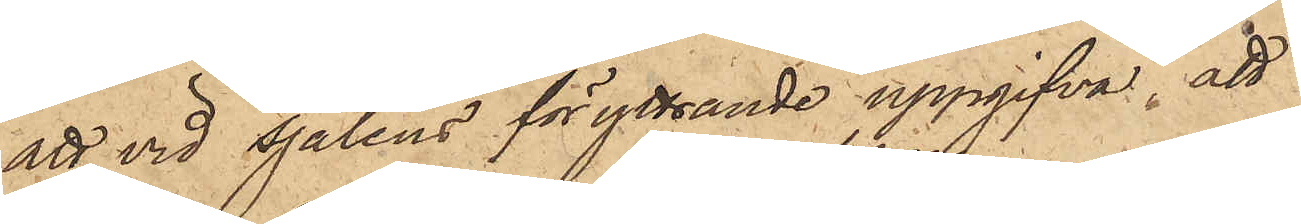att vid sjalens föryttrande uppgifva, att
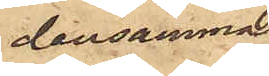densamma.
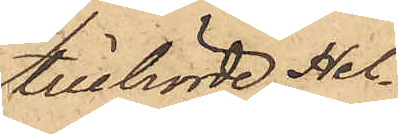tillhörde Hel¬
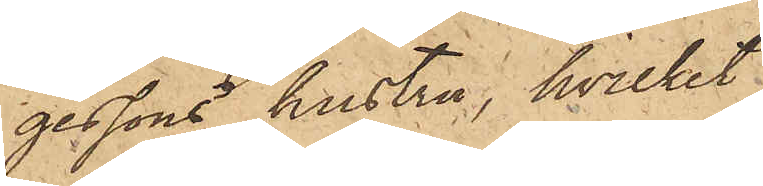gessons hustru, hvilket
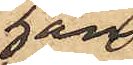han
